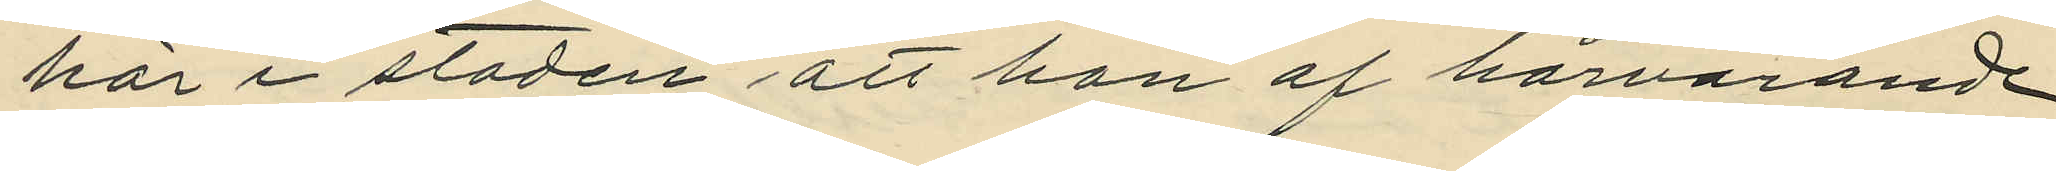här i staden, att han af härvarande
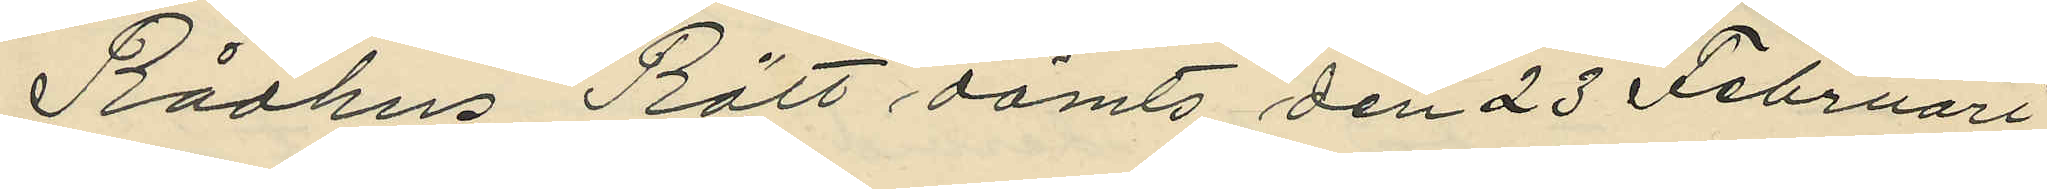Rådhus Rätt dömts den 23 Februari
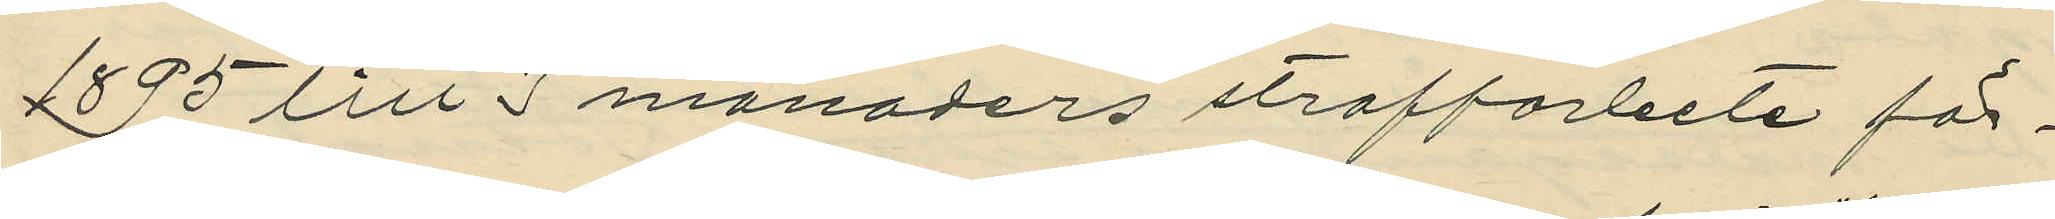1895 till 3 månaders straffarbete för
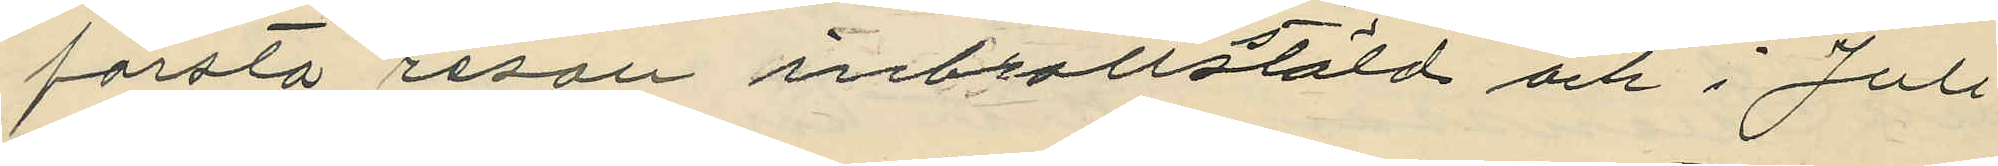första resan inbrottsstöld och i Juli
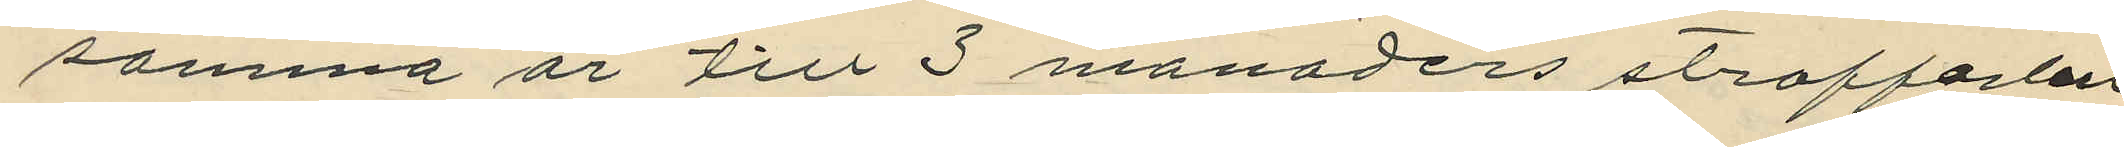samma år till 3 månaders straffarbete
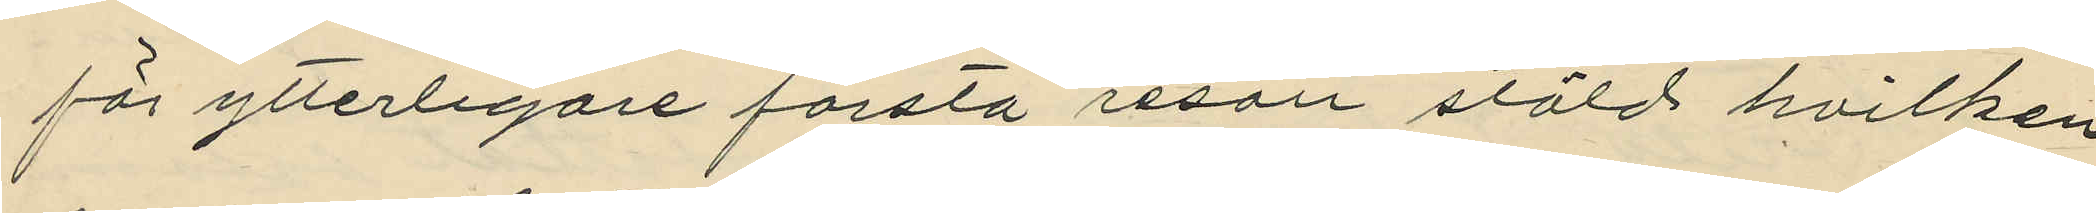för ytterligare första resan stöld hvilken
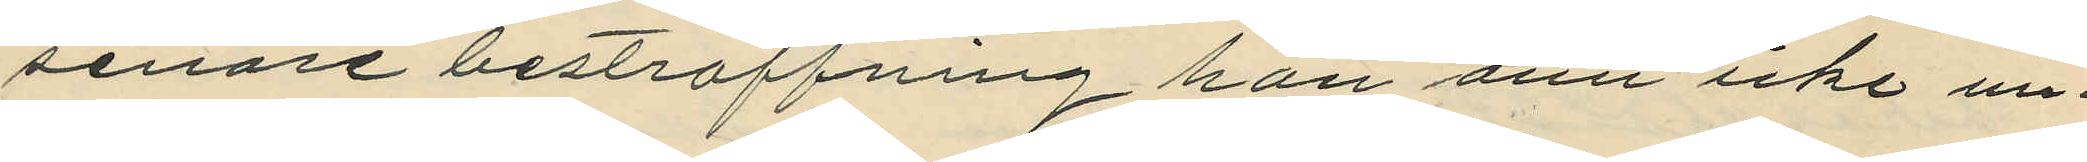senare bestraffning han änu icke un¬
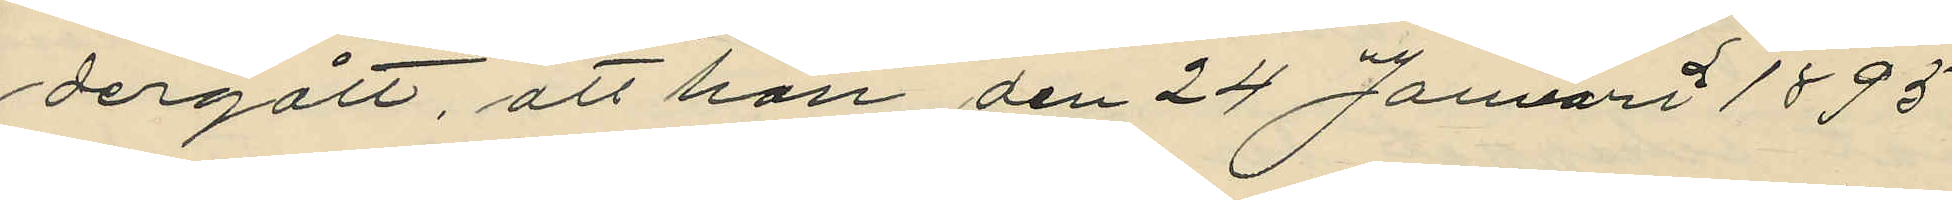dergått, att han den 24 Januari 1895
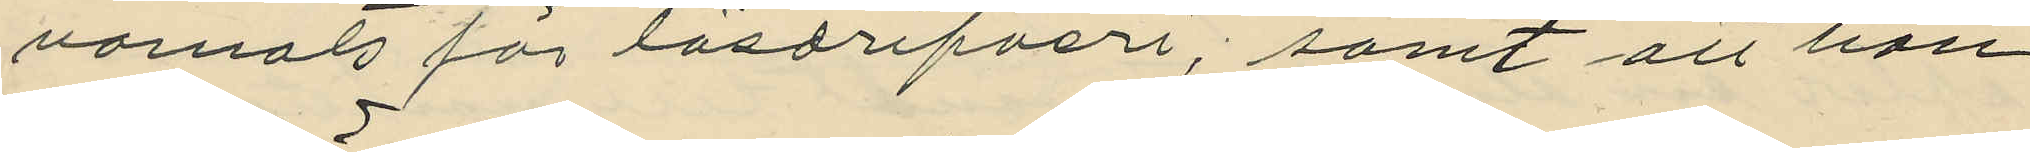varnats för lösdrifveri, samt att han
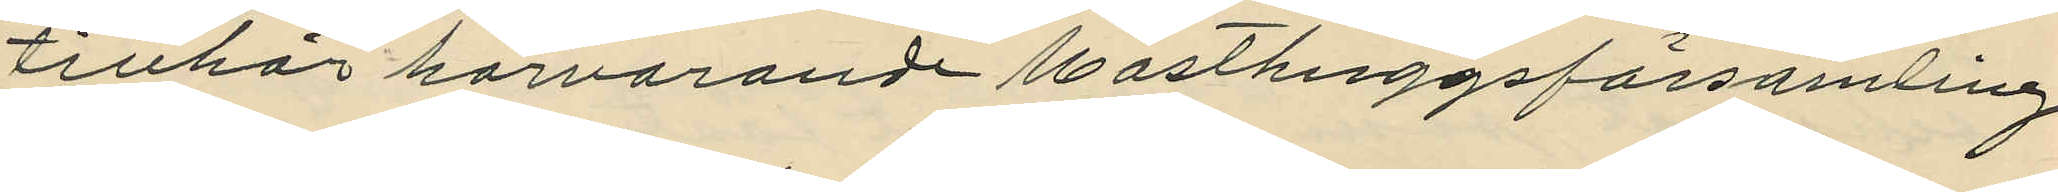tillhör härvarande Masthuggsförsamling
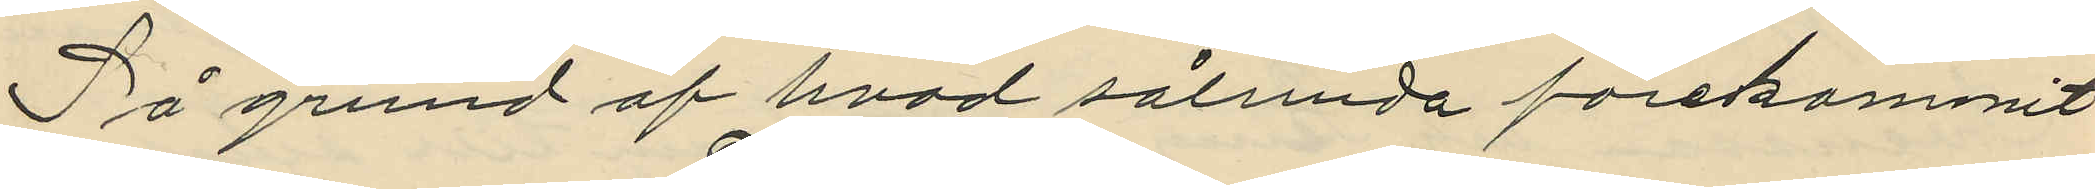På grund af hvad sålunda förekommit
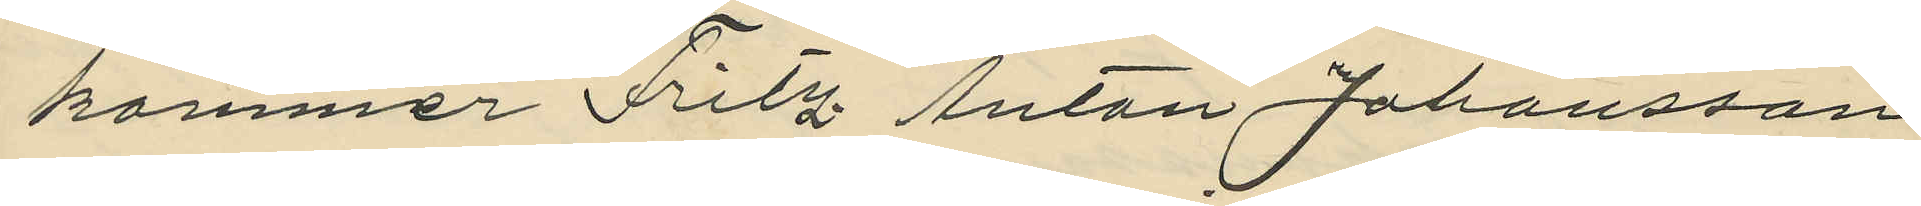kommer Fritz Anton Johansson
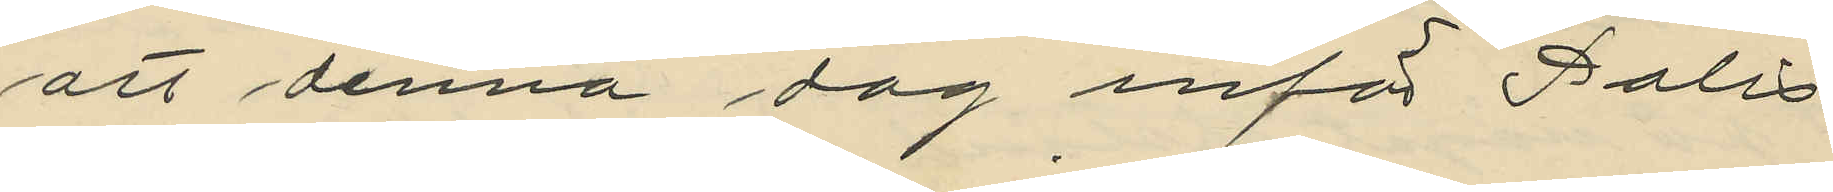att denna dag inför Polis¬
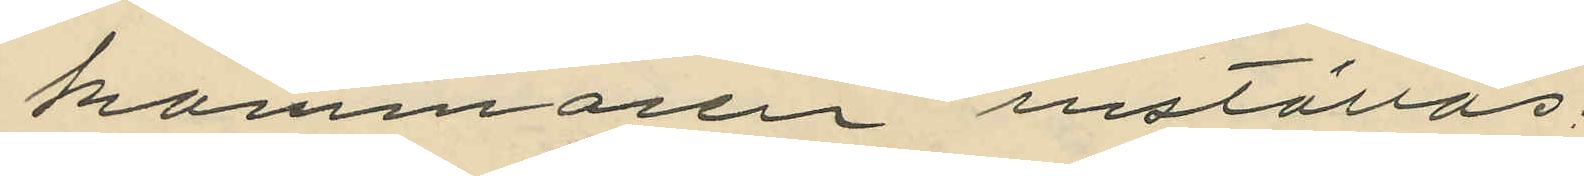kammaren inställas.
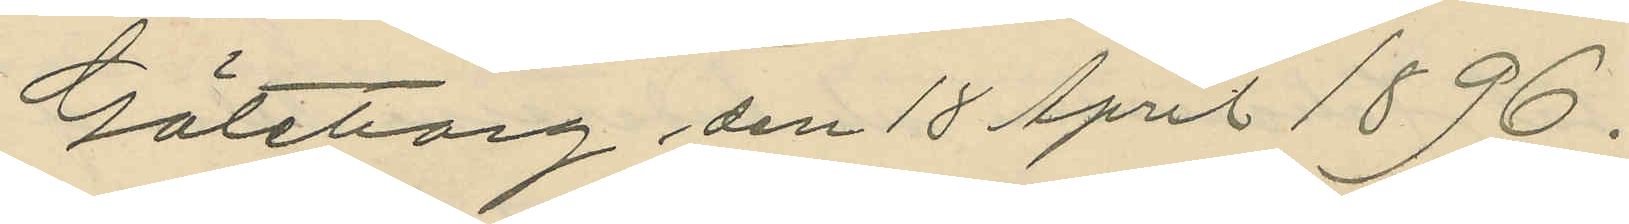Göteborg den 18 April 1896.
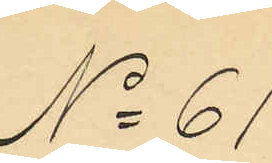No 61.
